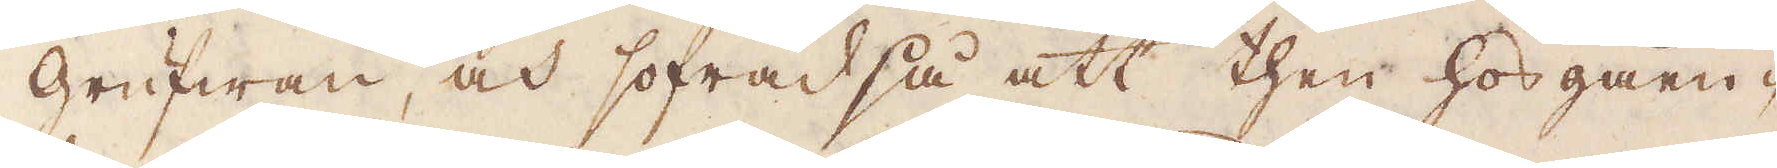grufwan, och sofrad så att then hos gåen-
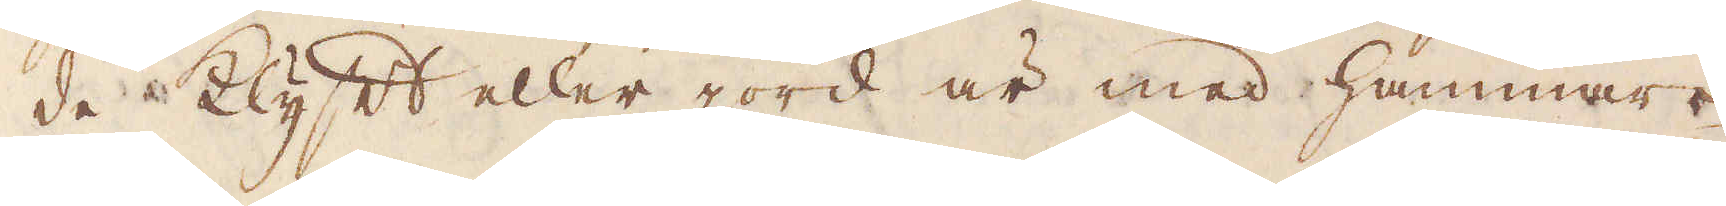de Klyft eller jord är med hammare
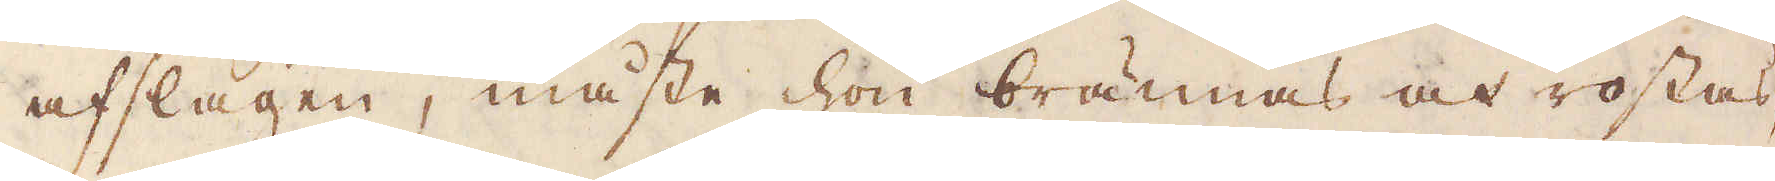afslagen, måste hon brännas och rostas,
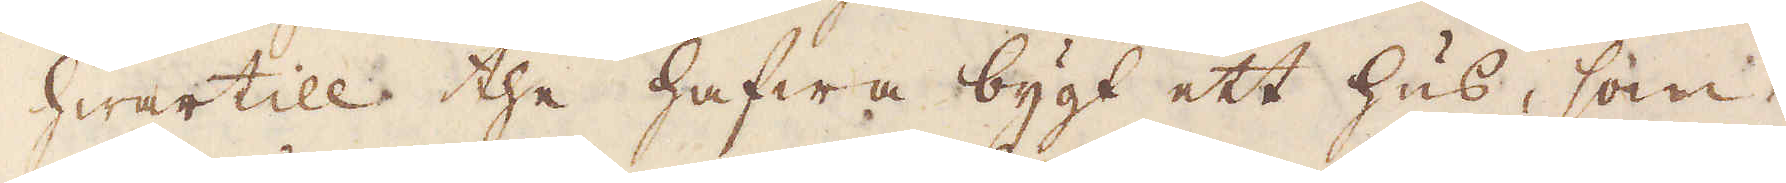hwartill the hafwa bygt ett hus, som
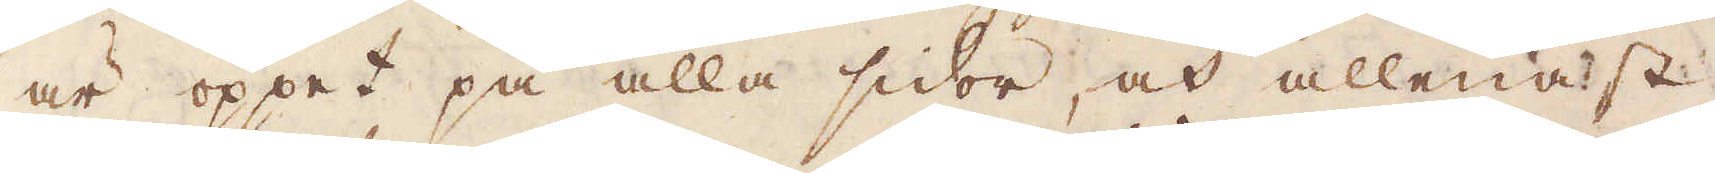är öppet på alla sidor, och allenast
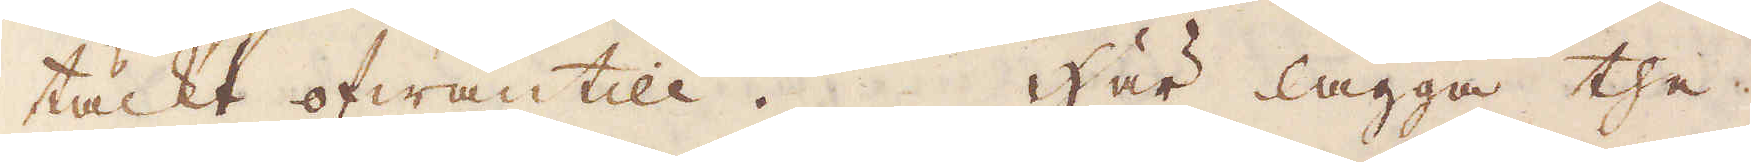täckt ofwantill. Här lägga the
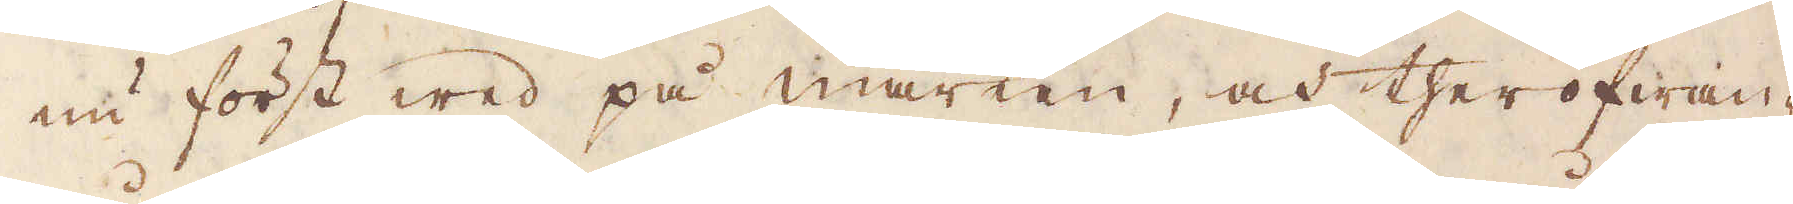nu först wed på marken, och therofwan-
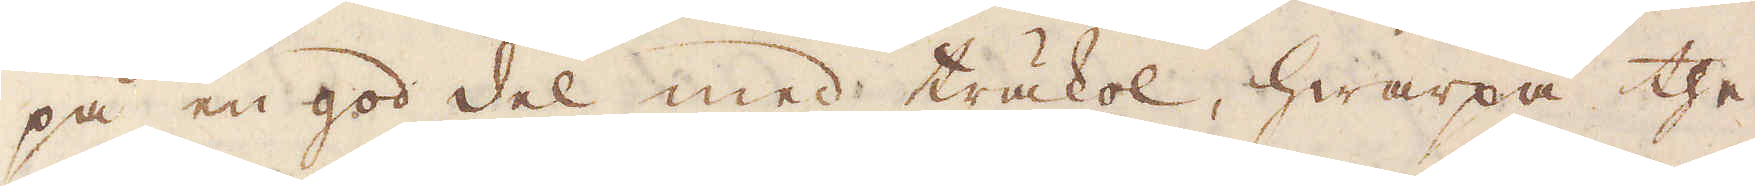på en god del med träkol, hwarpå the
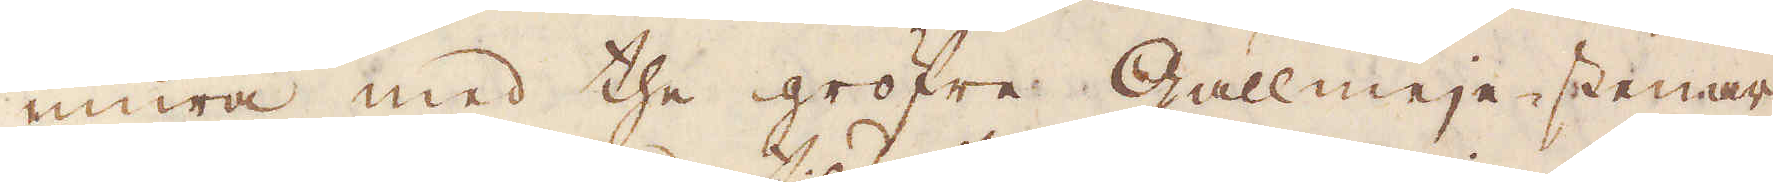mura med the gröfre Gallmeje-stenar,
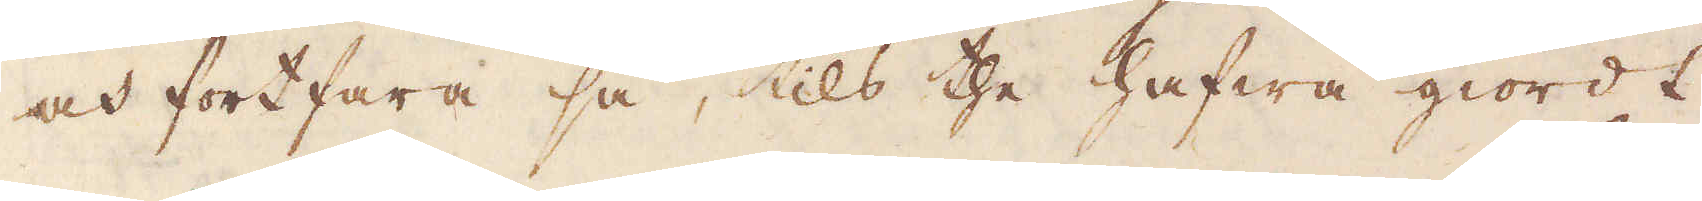och fortfara så, tils the hafwa giordt
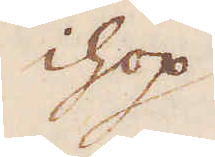ihop
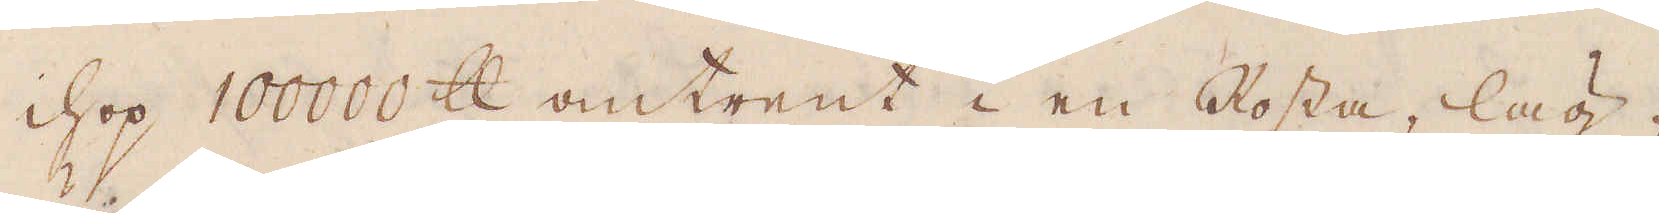ihop 100000 skålpund omtrent i en Rosta, läg-
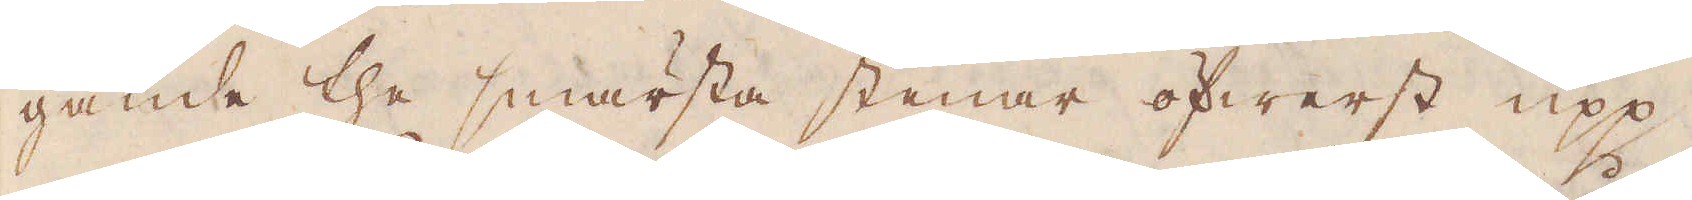gande the smärsta stenar öfwerst upp,
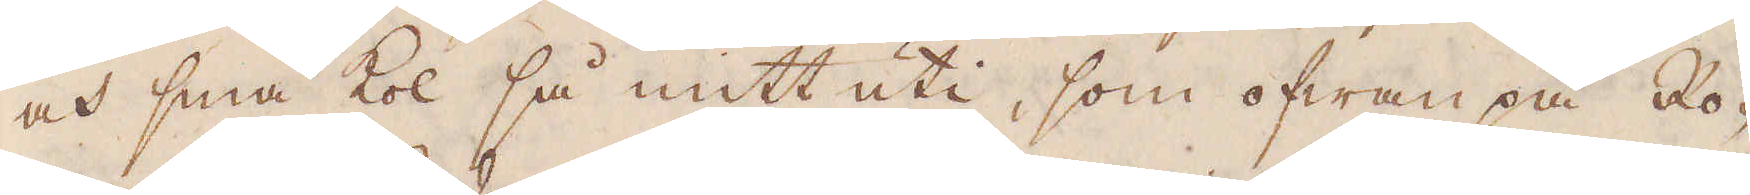och små kol så mitt uti, som ofwanpå Ro-
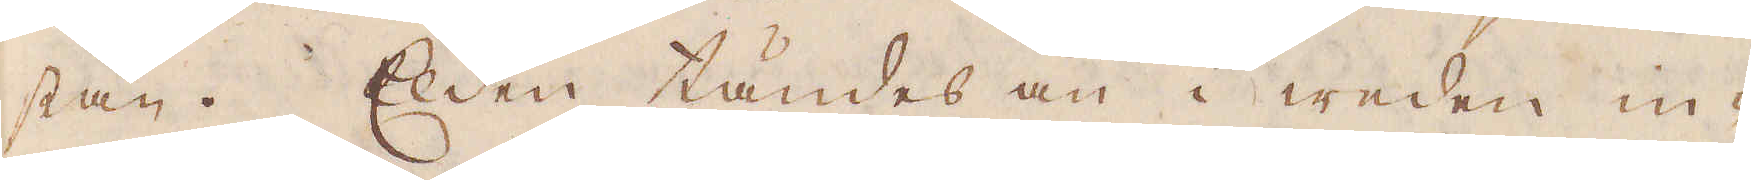stan. Elden tändes an i weden in-
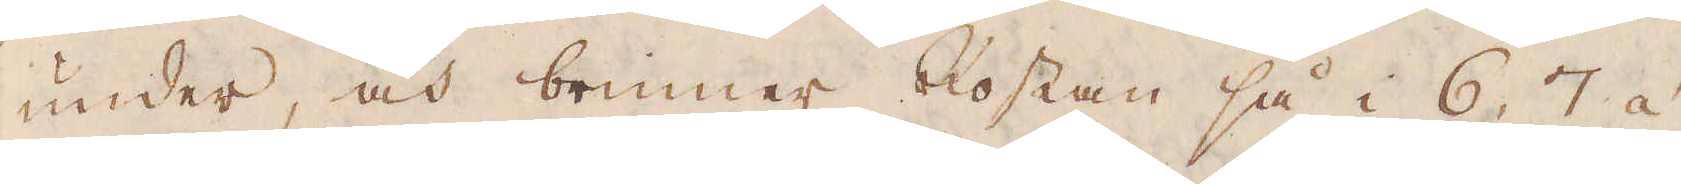under, och brinner Rostan så i 6, 7 á
